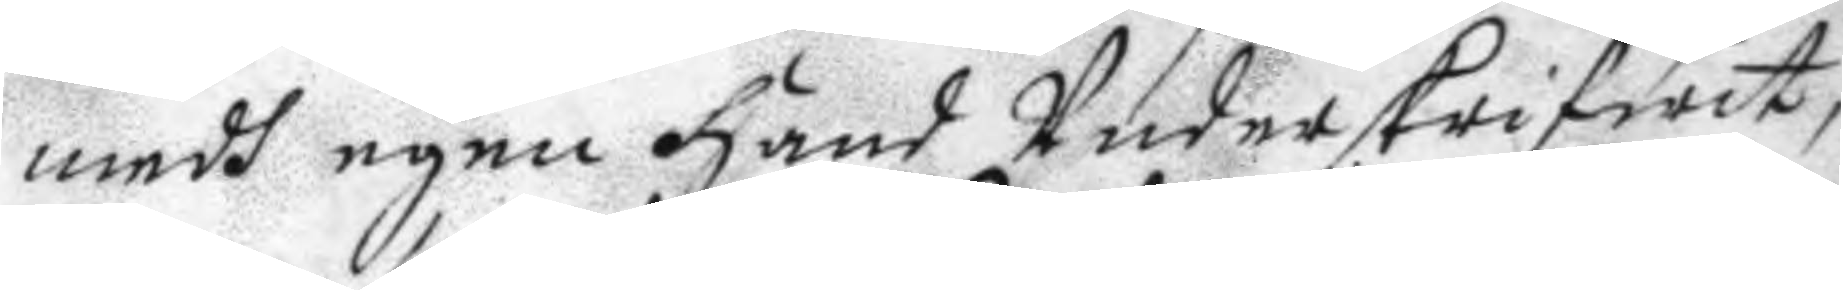medh egen hans Underskriwit,
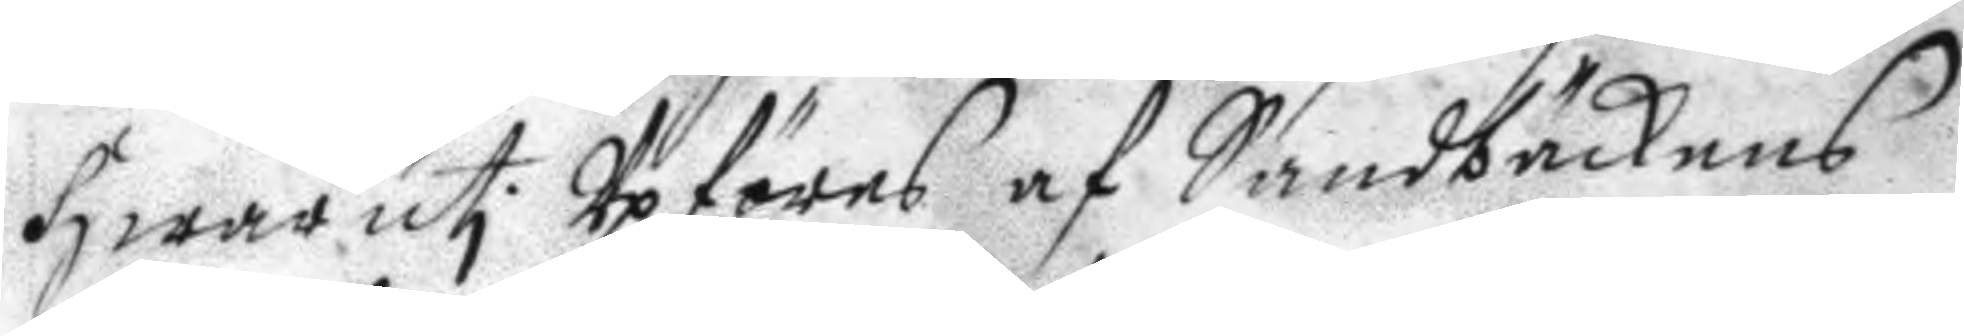hwaruti Upföres af Sandbäckens
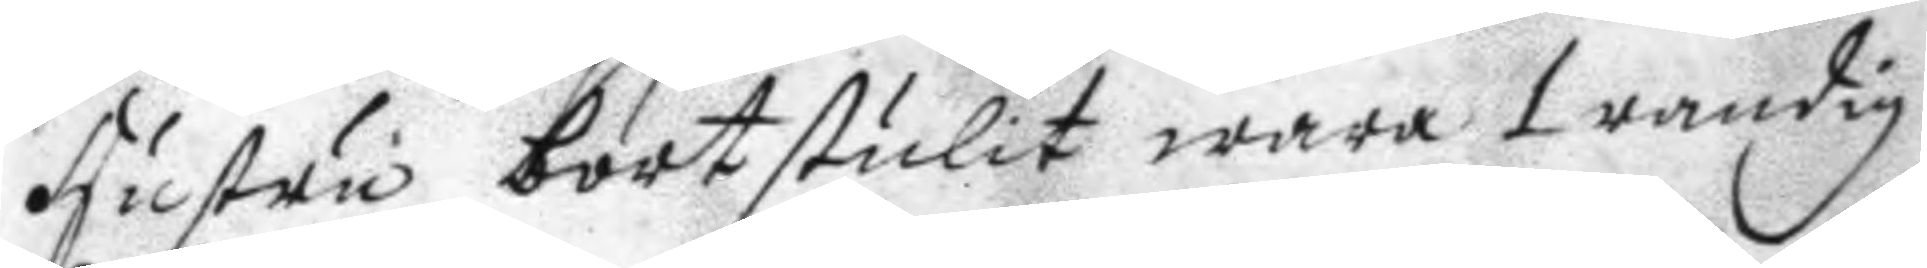hustru bortstulit wara 1 randig
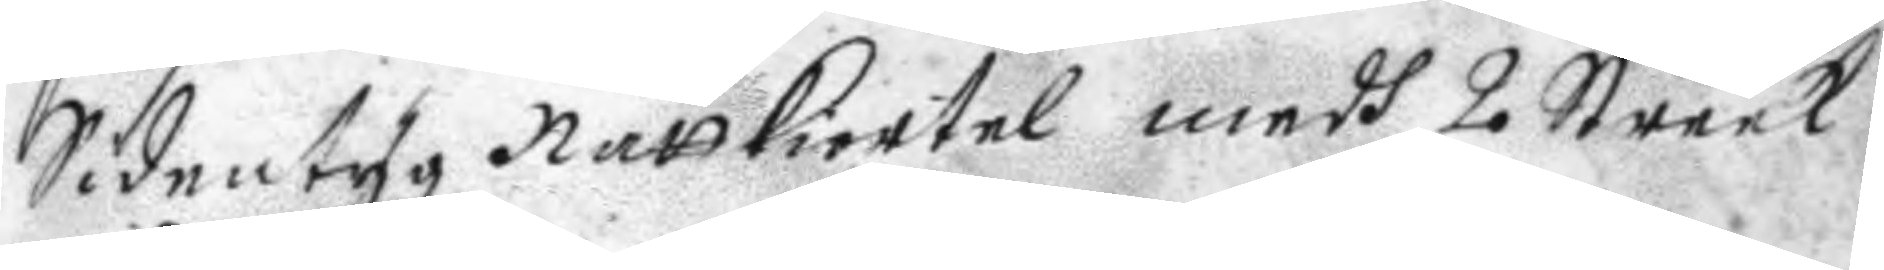Sidentyg Nattkiortel medh 2 Streek
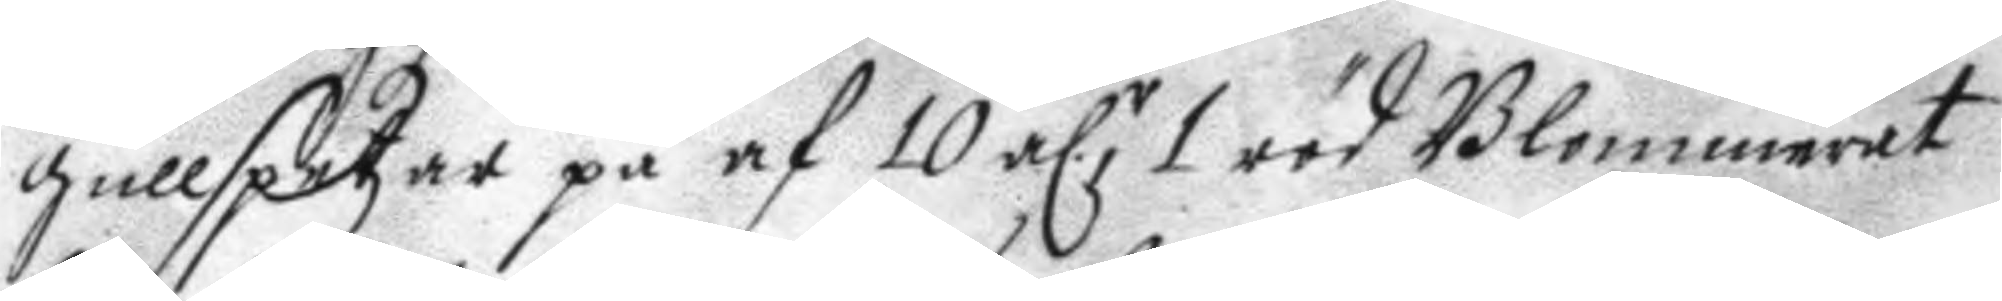gullspetzar på af 10 a.r , 1 röd Blommerat
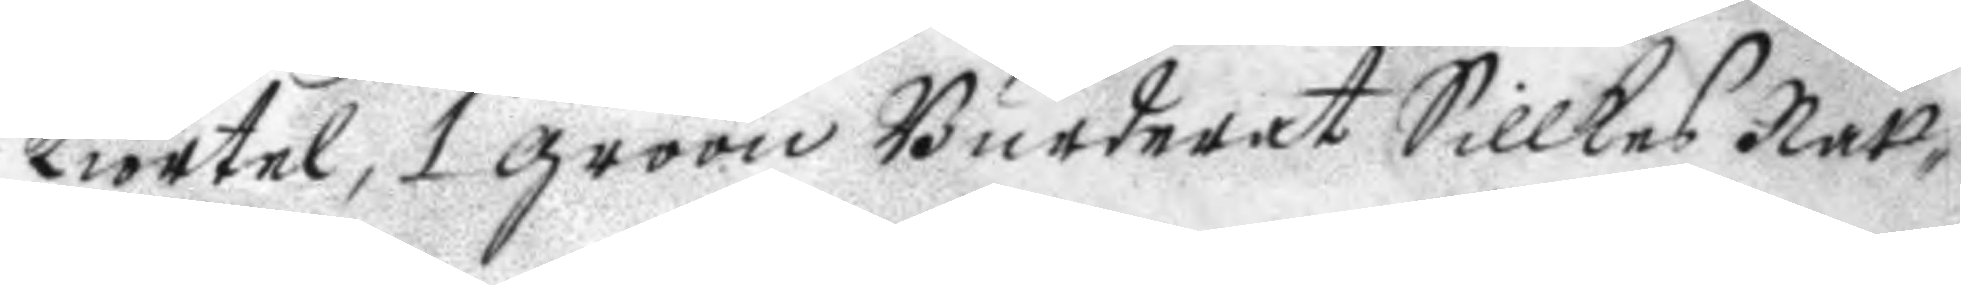kiortel, 1 gröön Burderat Sillkes Natt¬
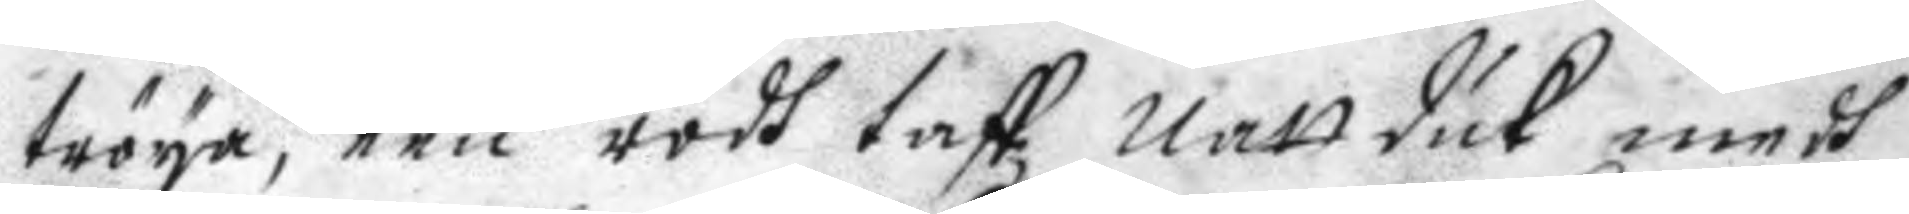tröya, een rödh taft natt duk medh
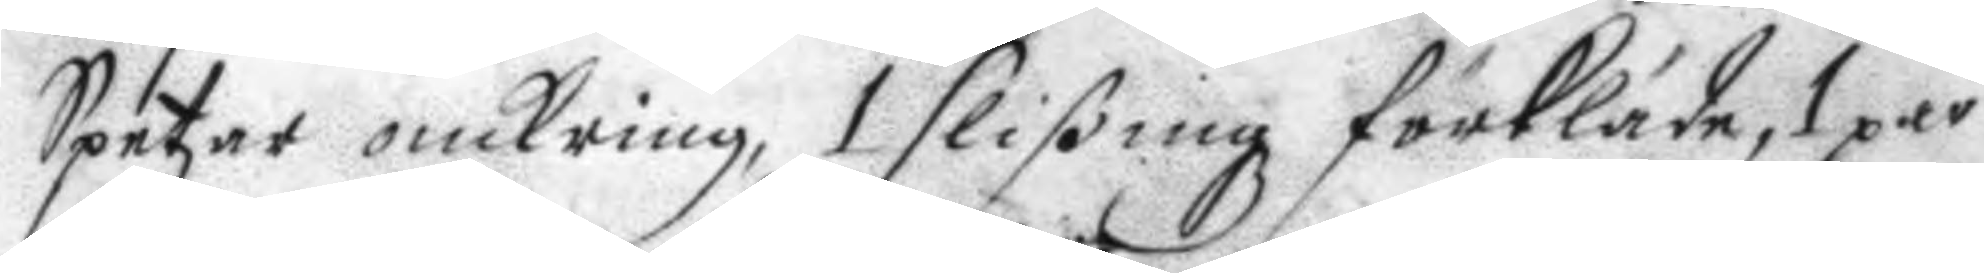Spetzar omkring, 1 slißingz förkläde, 1 par
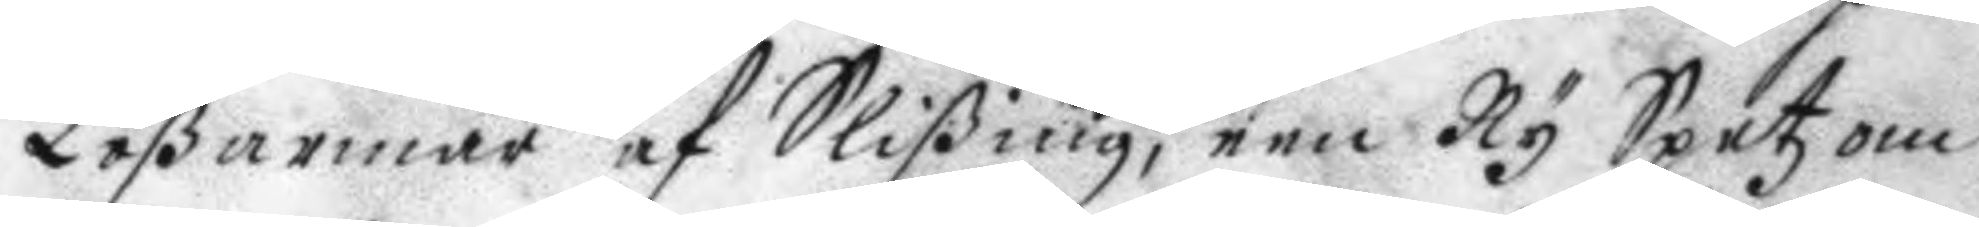Lößarmar af Slißing, een Ny Spetz om
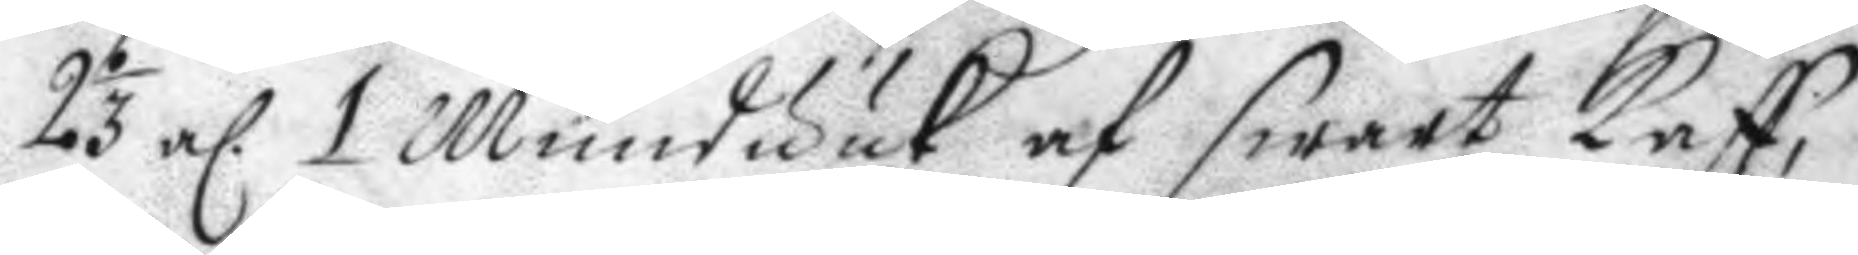2 1/3 a. 1 Munduuk af swart Taff,
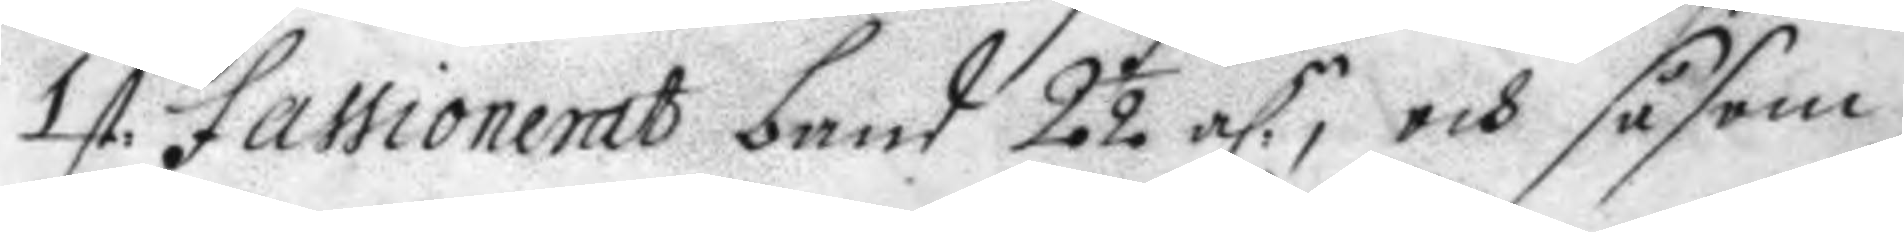1 st. fassionerat band 2 ½ a.n, och såsom
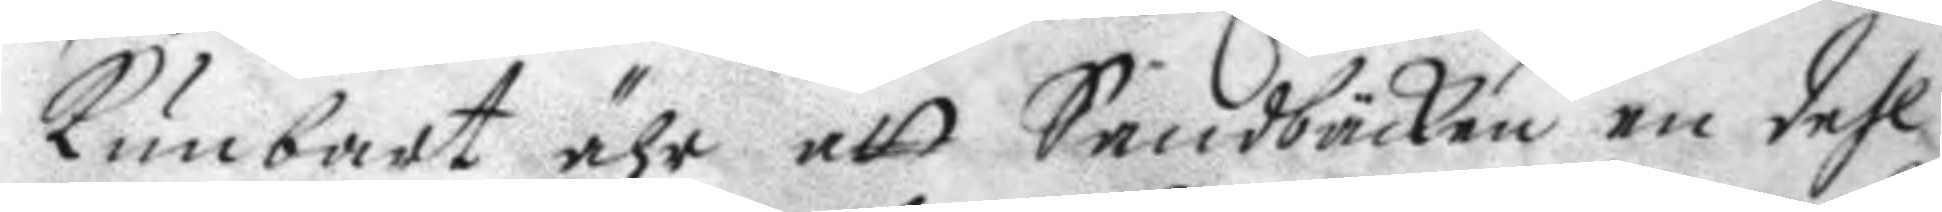kunbart ähr att Sandbäcken en dehl
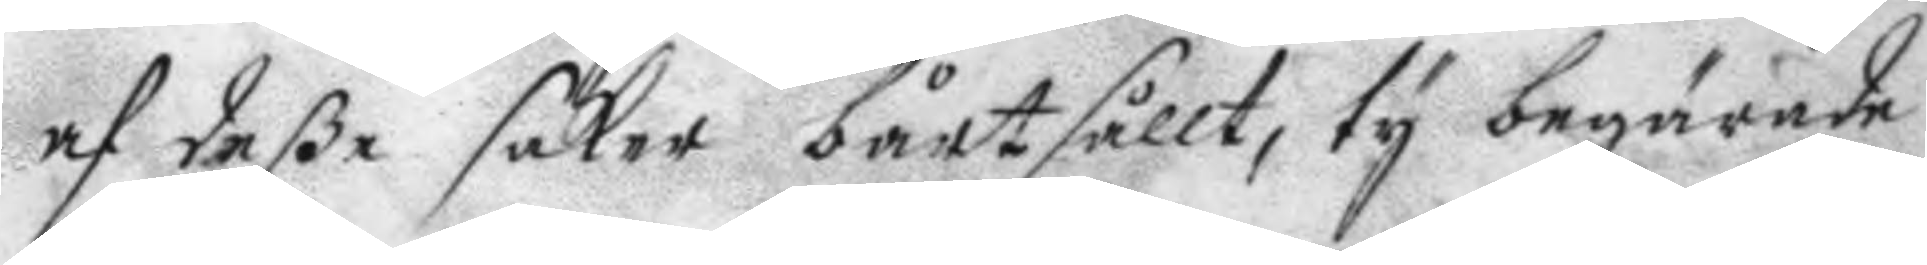af deße saker bårtsållt, ty begärade
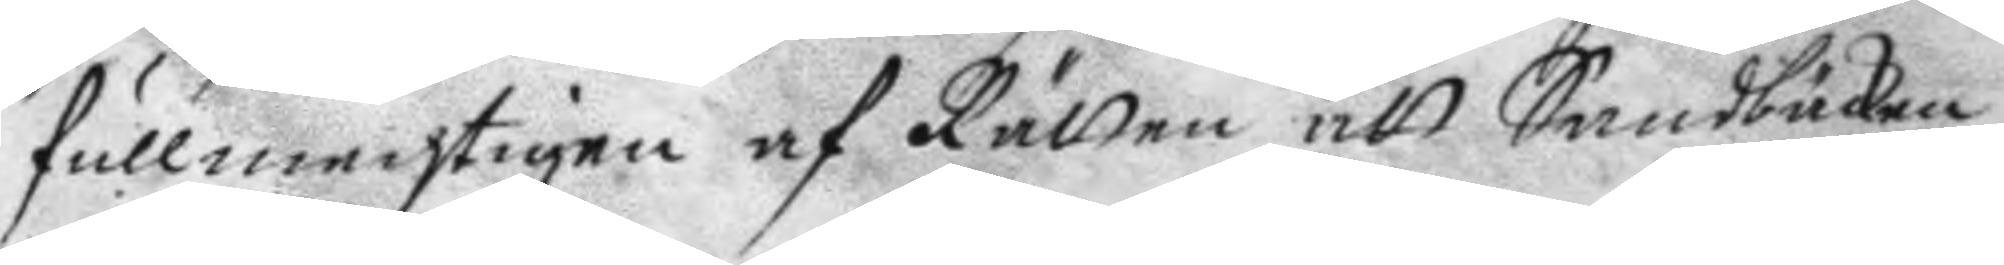fullmechtigen af Rätten att Sandbäcken
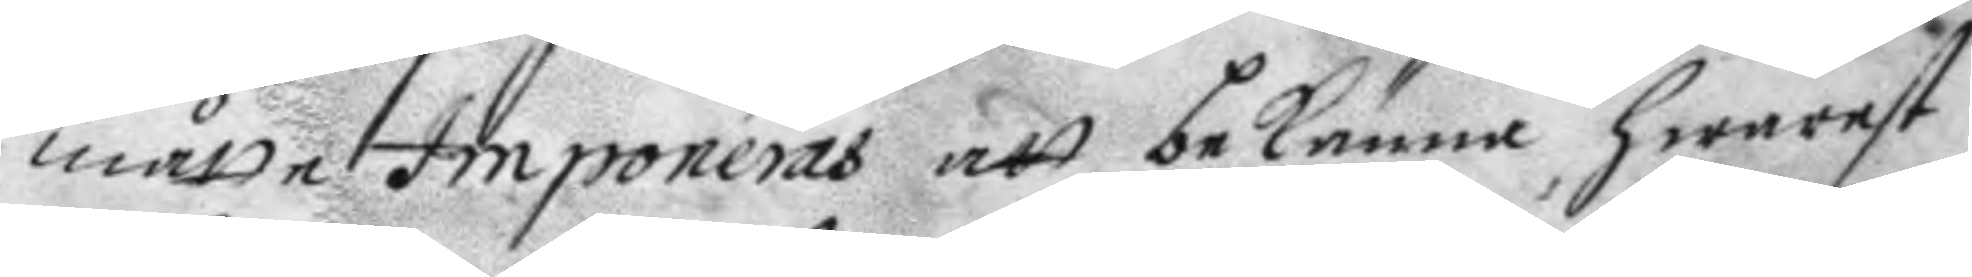måtte Imponeras att bekänna hwarest
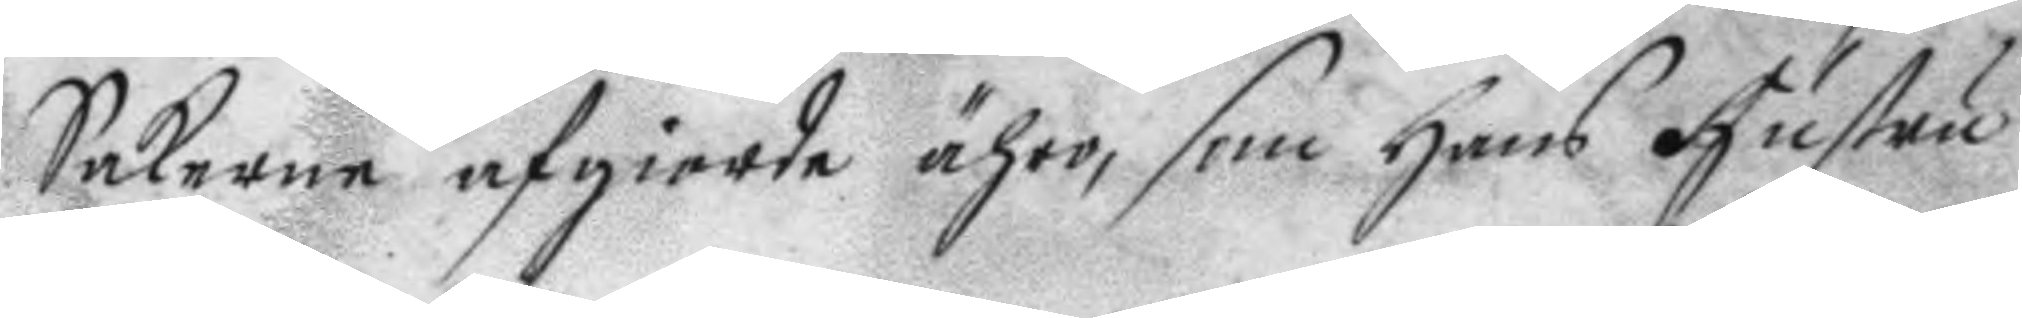Sakerne afgiorde ähro, som hans hustru
